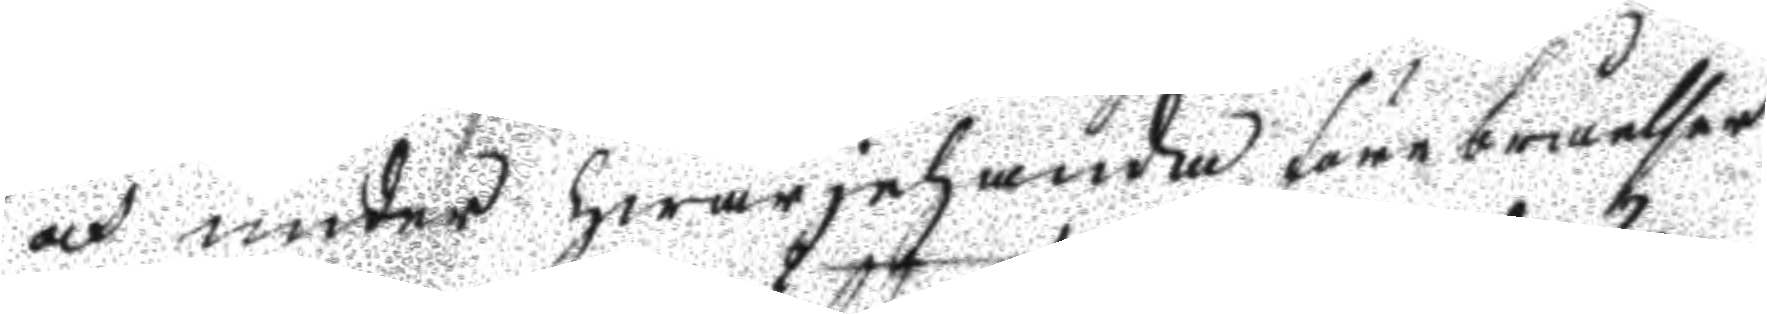och under hwarjehanda förebråelser
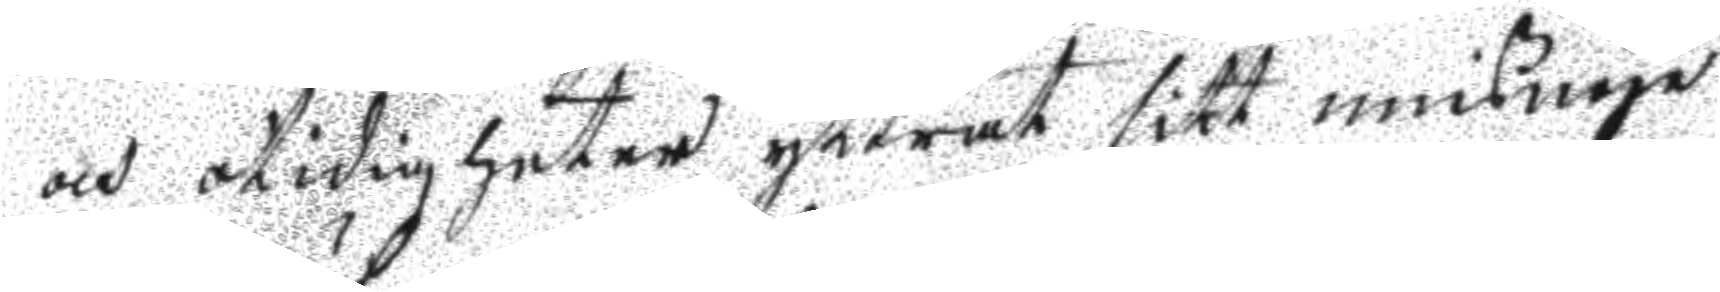och otidigheter yttrat sitt misnöje
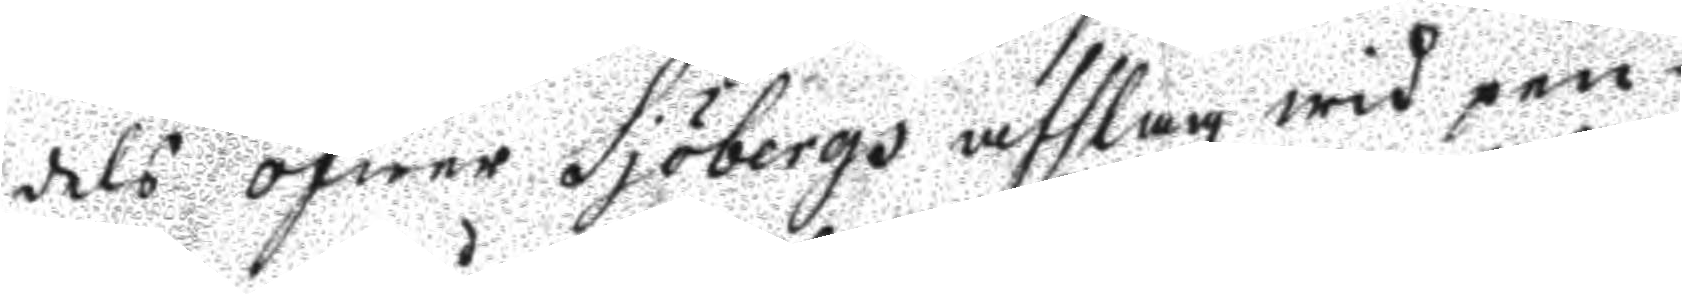dels öfwer Sjöbergs afslag wid pen¬
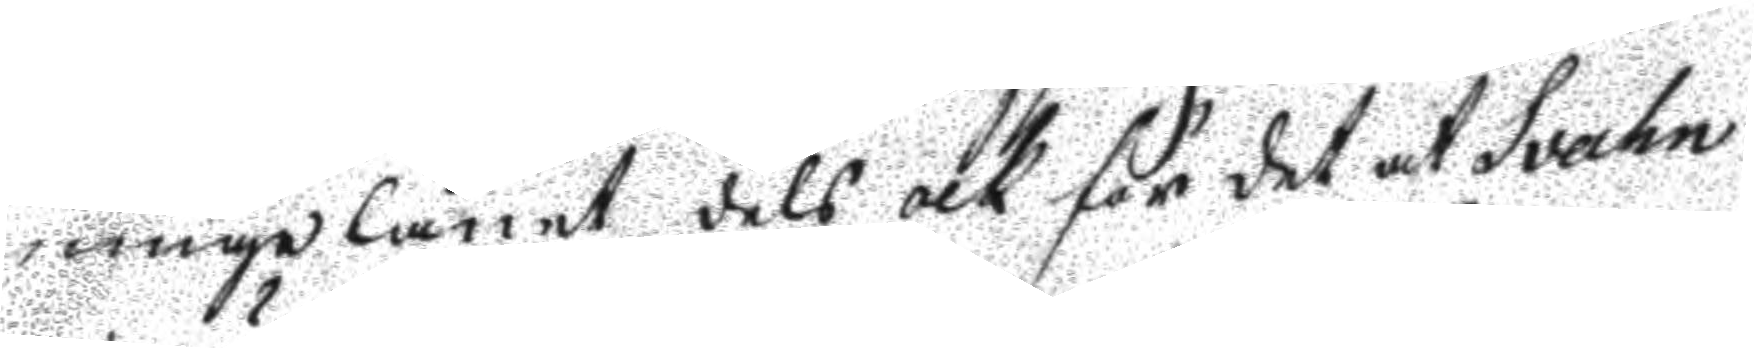ningalånet dels och för det at Svahn
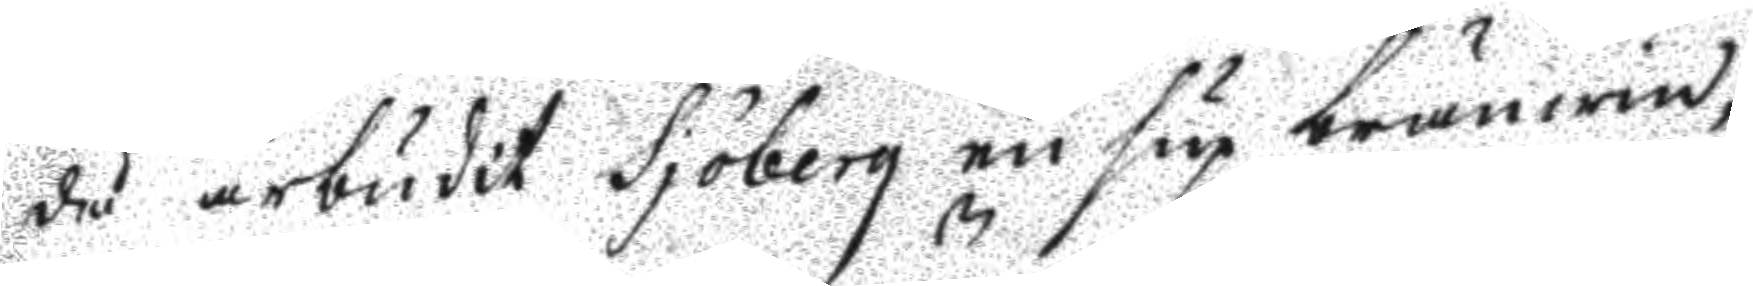då ärbudit Sjöberg en sup bränwin,
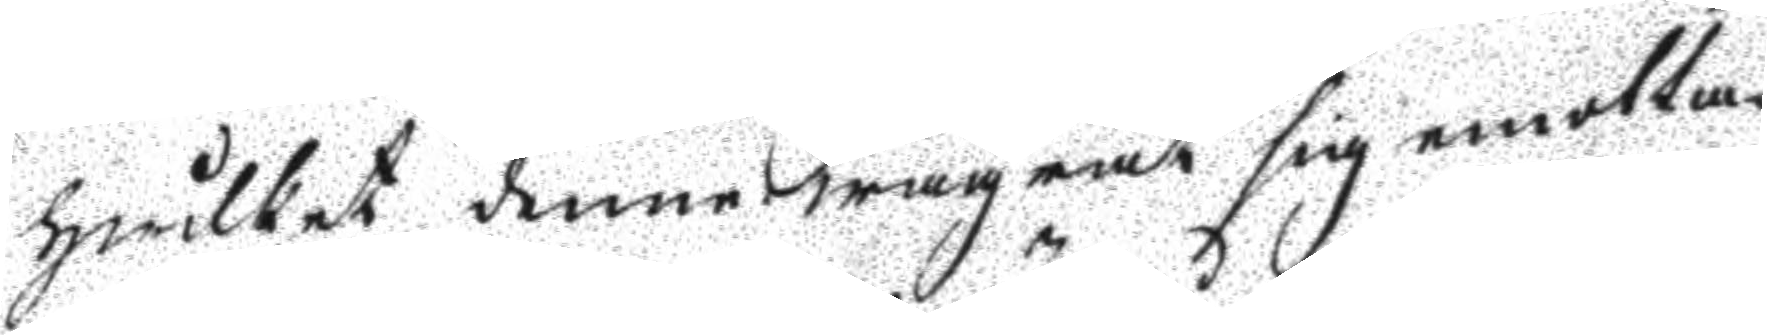hwilket denne wägrat sig emotta¬
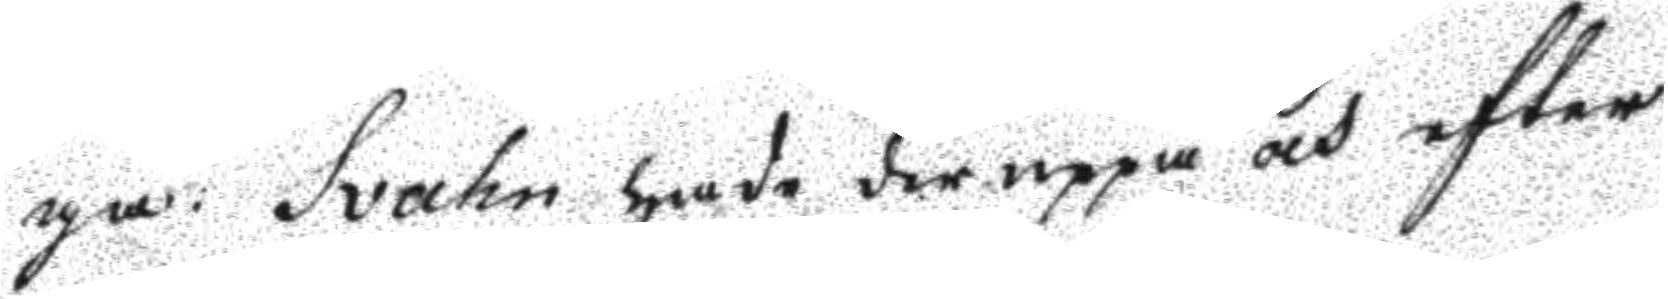ga: Svahn hade der uppå och efter
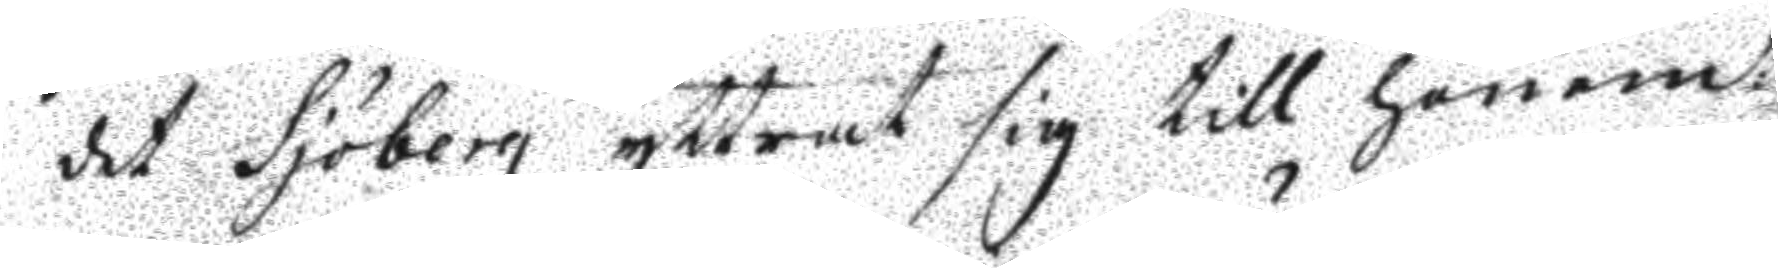det Sjöberg yttrat sig till honom:
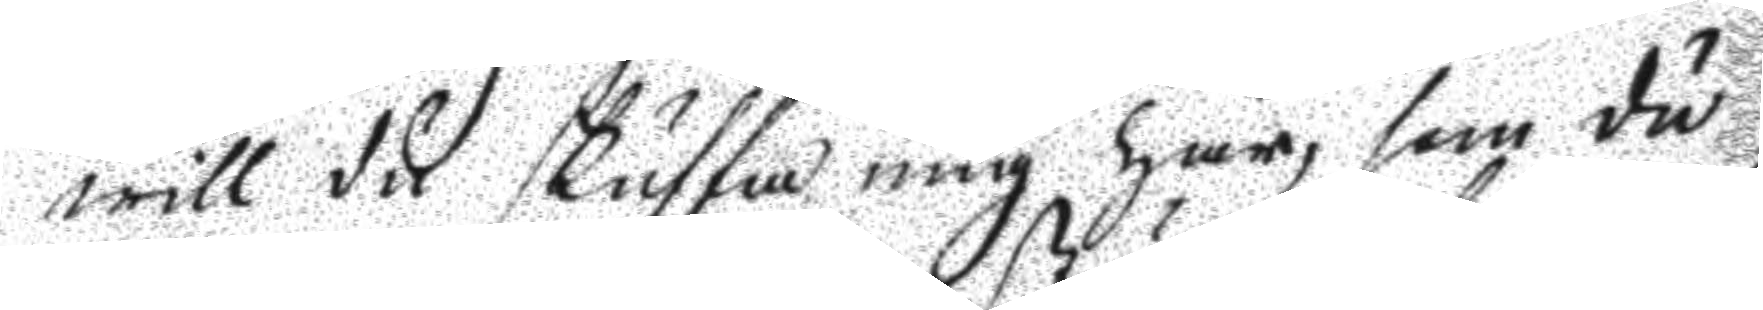will du skuffa mig här, som du
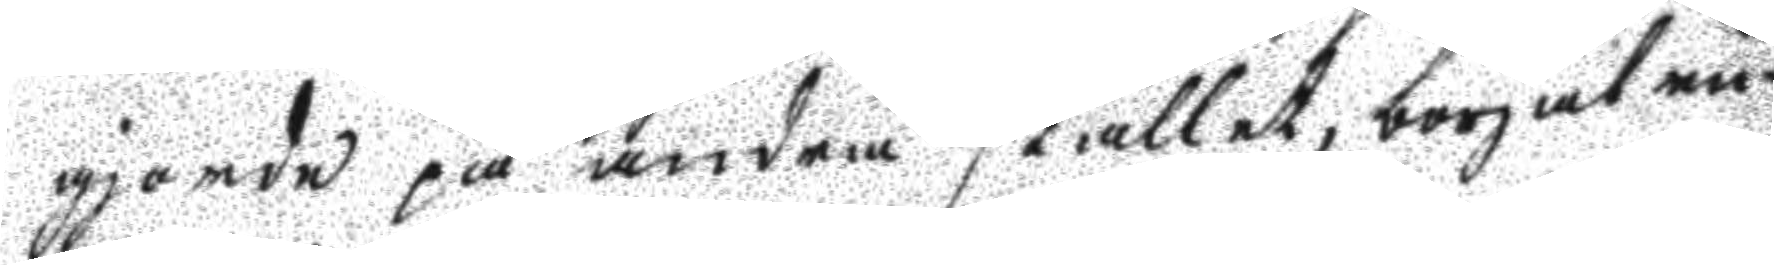gjorde på andra stället, börjat ru¬
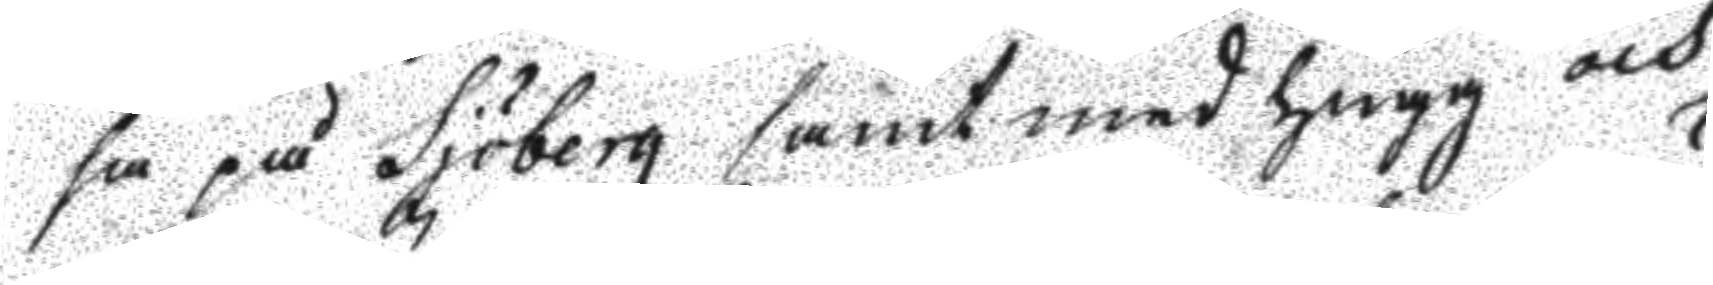sa på Sjöberg samt med hugg och
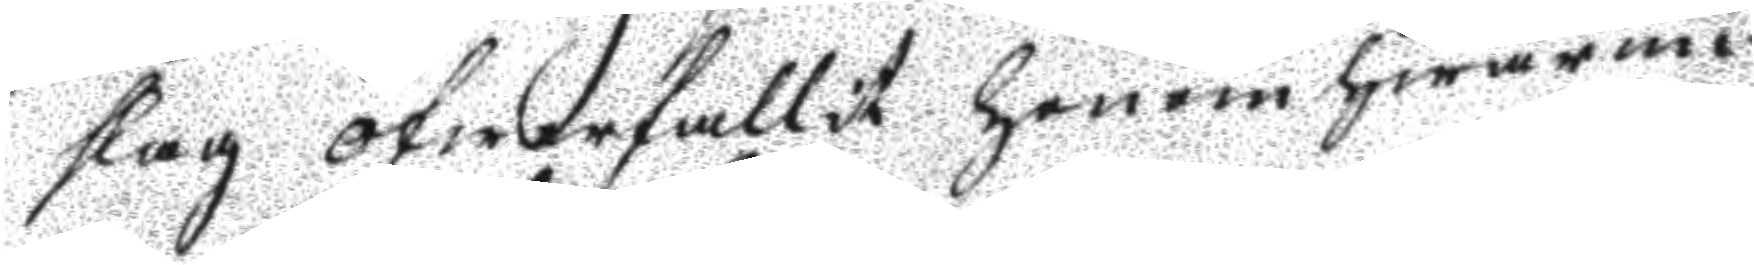slag öfwerfallit honom hwarun¬
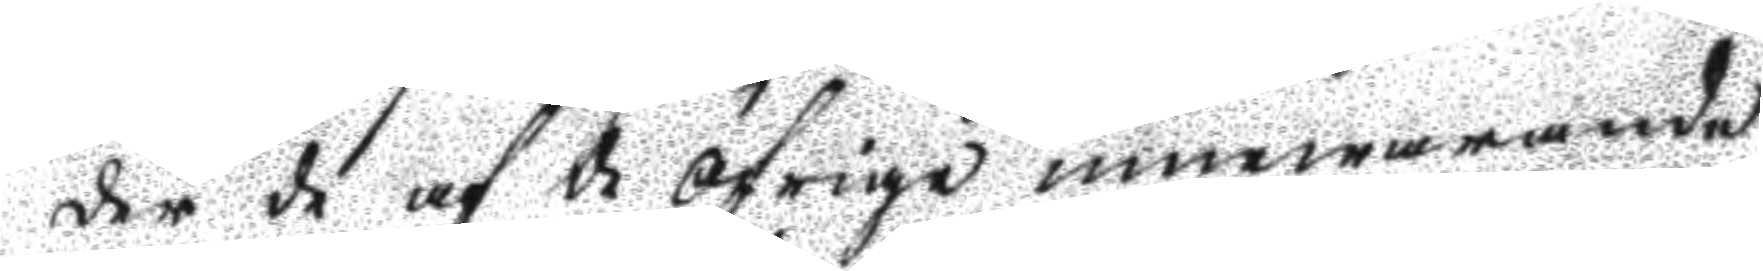der de af de öfrige innewarande
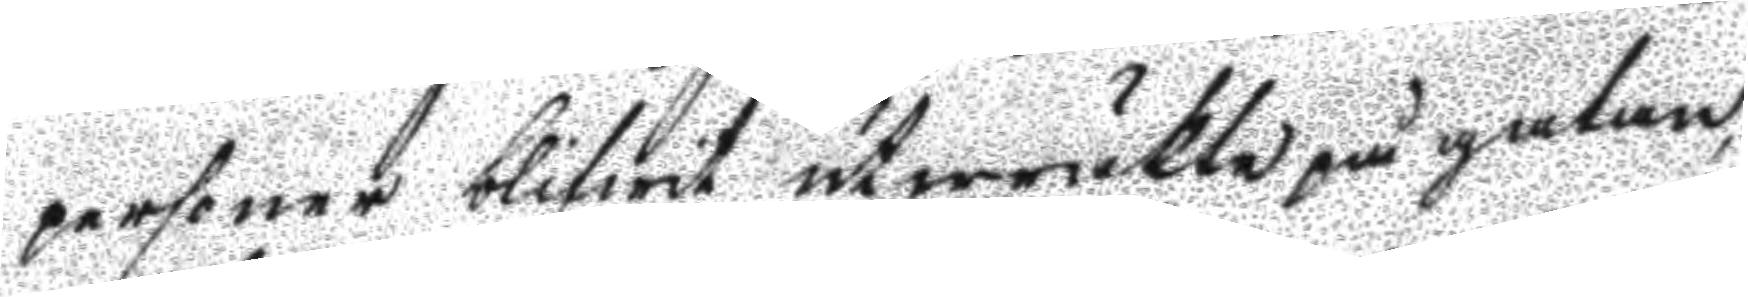personer blifwit utwräkta på gatan,
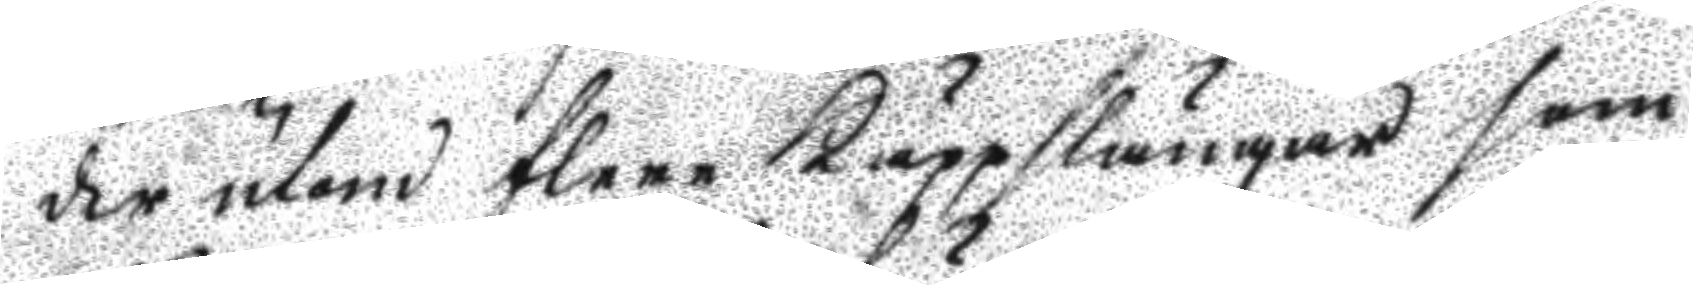der utom flere käppslängar som
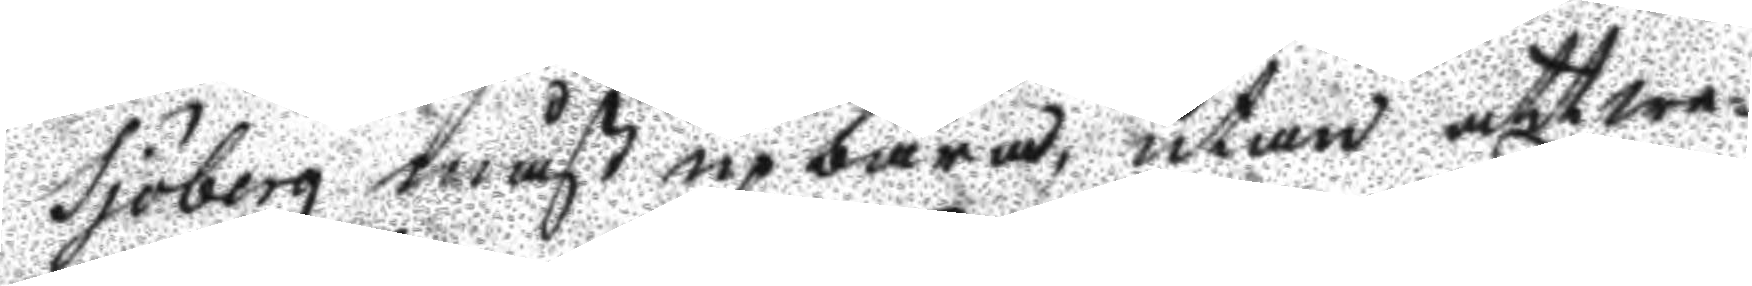Sjöberg måst upbära, utan att we¬
